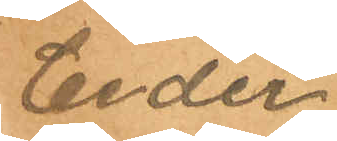Ceder
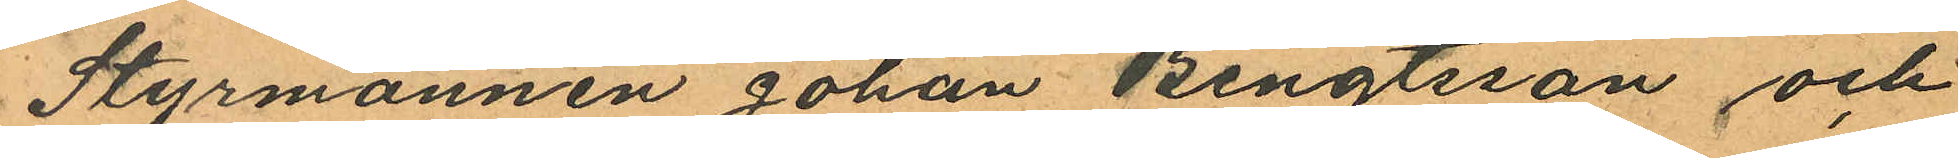Styrmannen Johan Bengtsson och
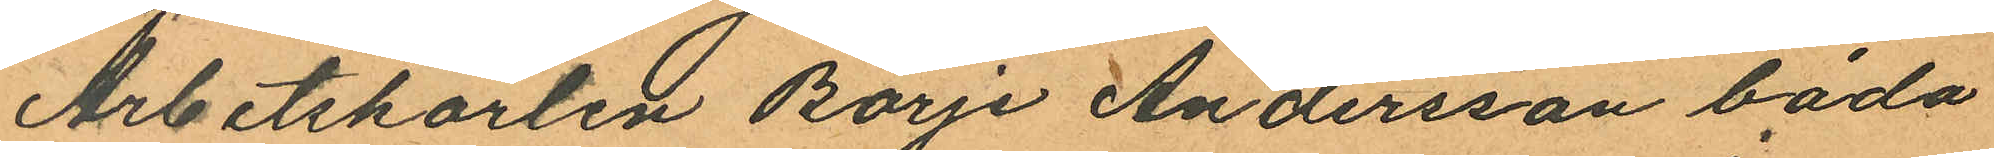Arbetskarlen Börje Andersson båda
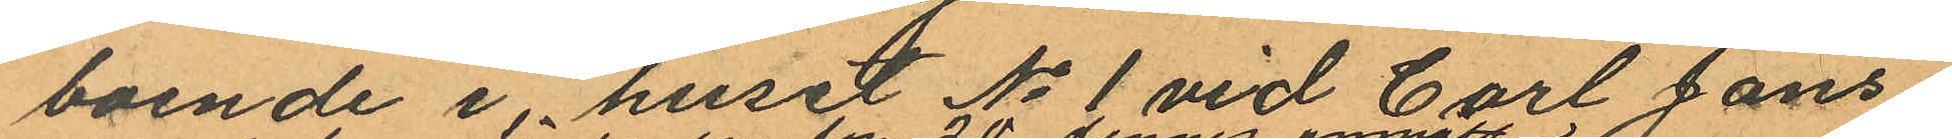boende i huset No 1 vid Carl Jons¬
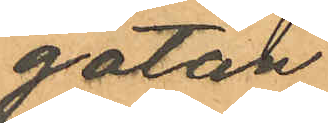gatan
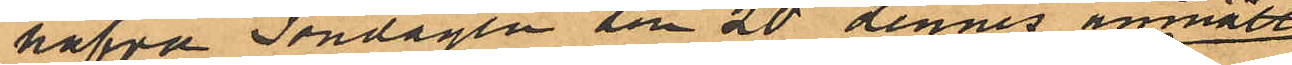hafva Söndagen den 20 dennes anmält
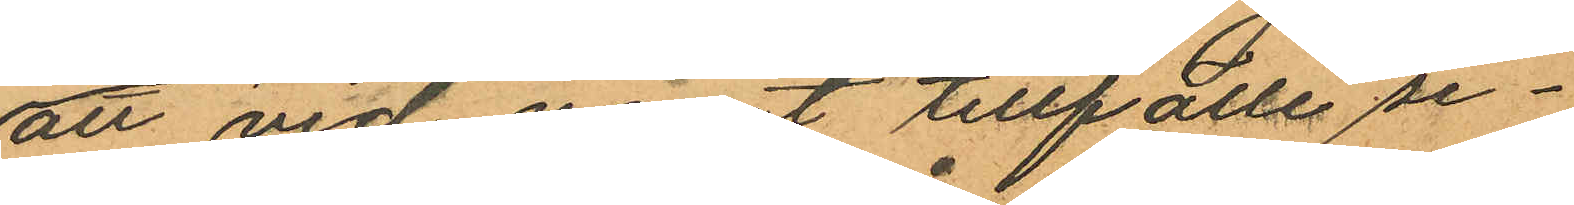att vid något tillfälle se¬
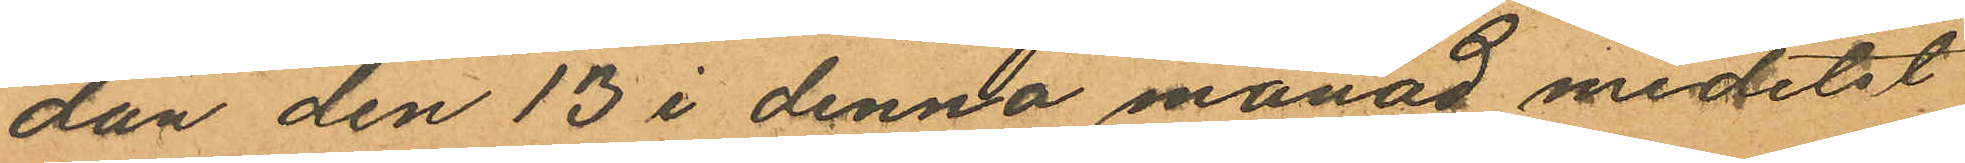dan den 13 i denna månad medelst
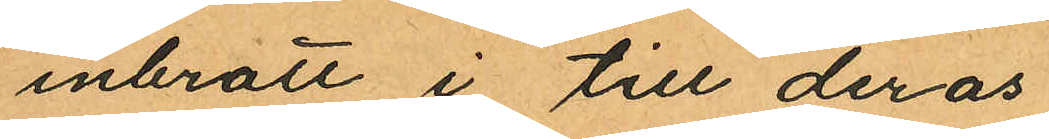inbrott i till deras
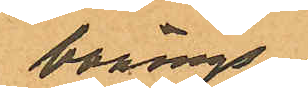bonings
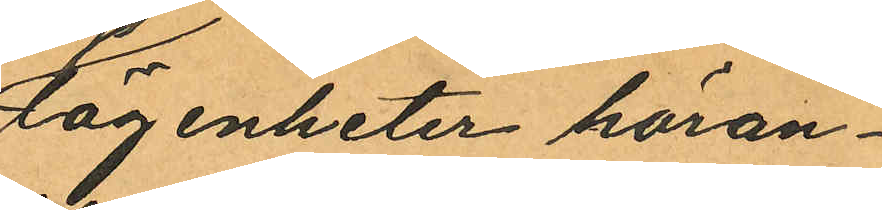lägenheter höran¬
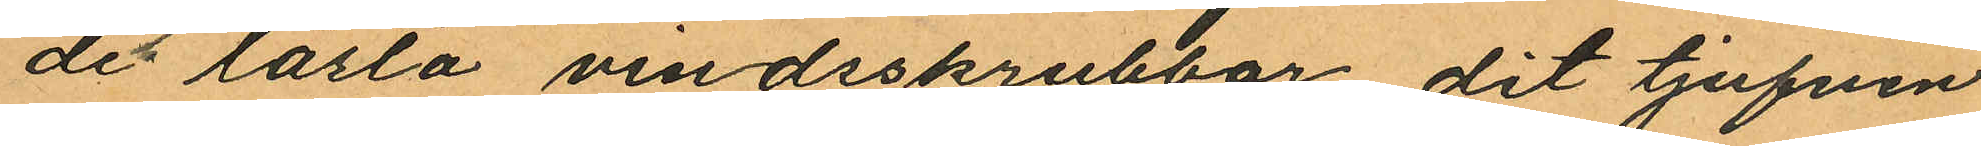de låsta vindsskrubbar dit tjufven
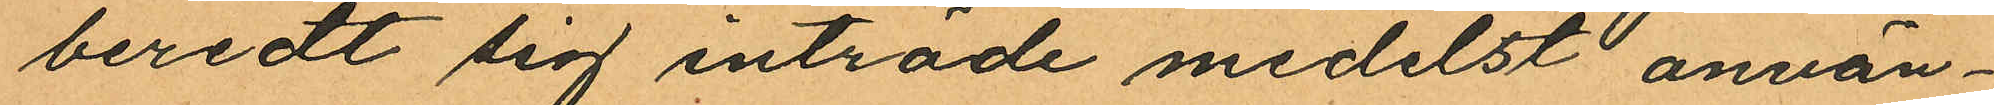beredt sig inträde medelst använ¬
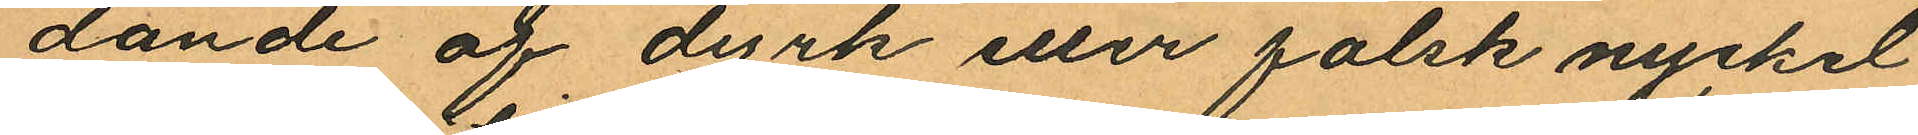dande af dyrk eller falsk nyckel
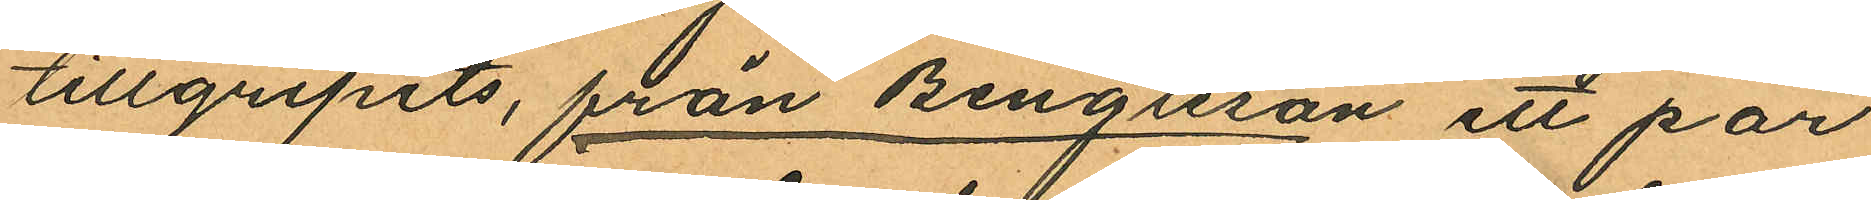tillgripits, från Bengtsson ett par
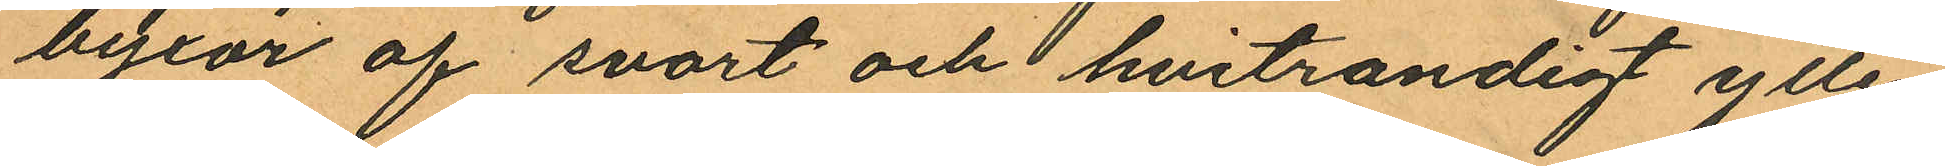byxor af svart och hvitrandigt ylle¬
